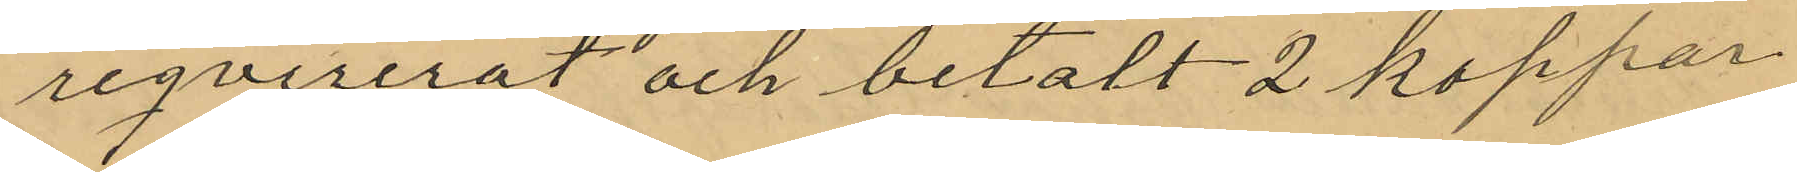reqvirerat och betalt 2 koppar
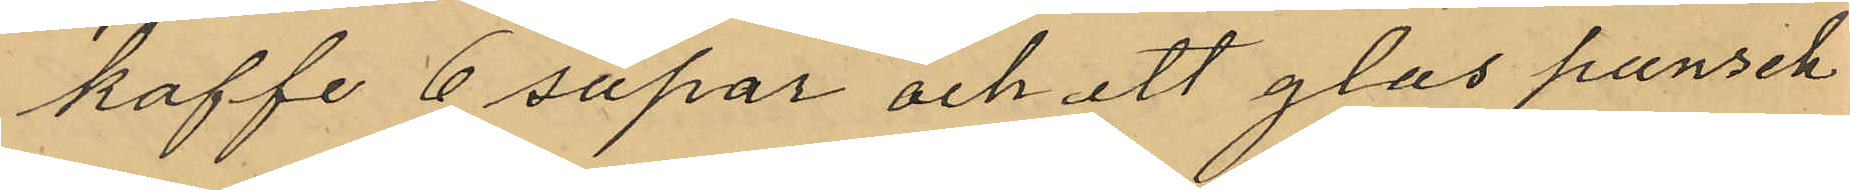kaffe 6 supar och ett glas punsch
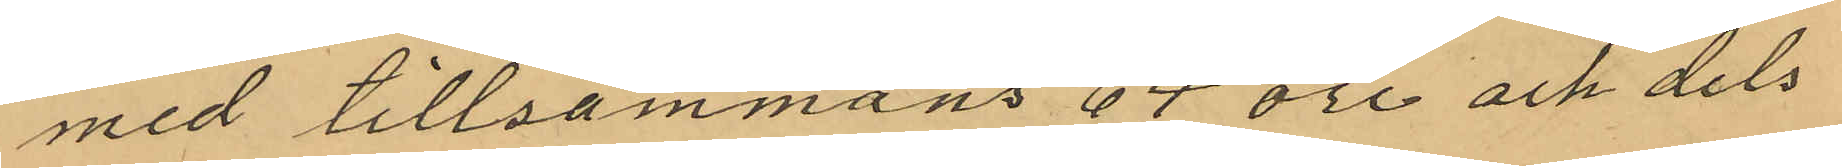med tillsammans 64 öre och dels
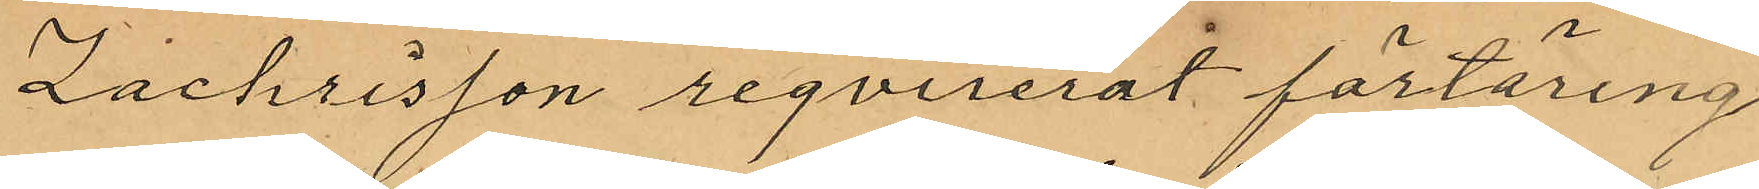Zachrisson reqvirerat förtäring
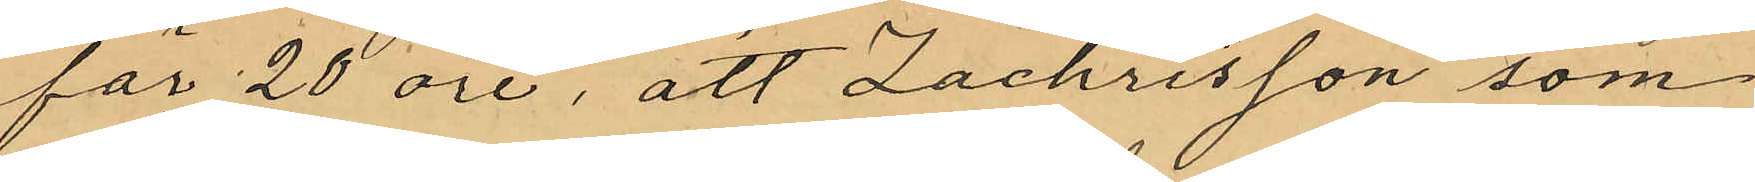för 20 öre, att Zachrisson som
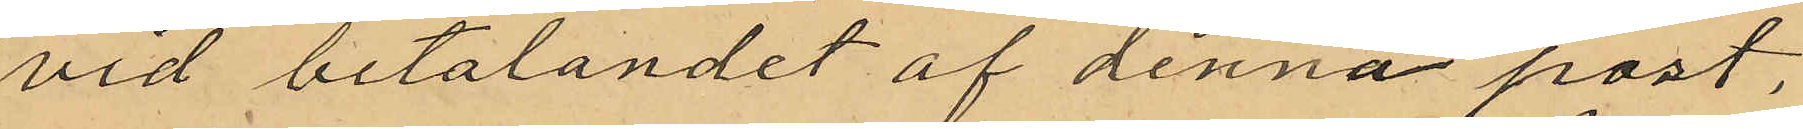vid betalandet af denna post,
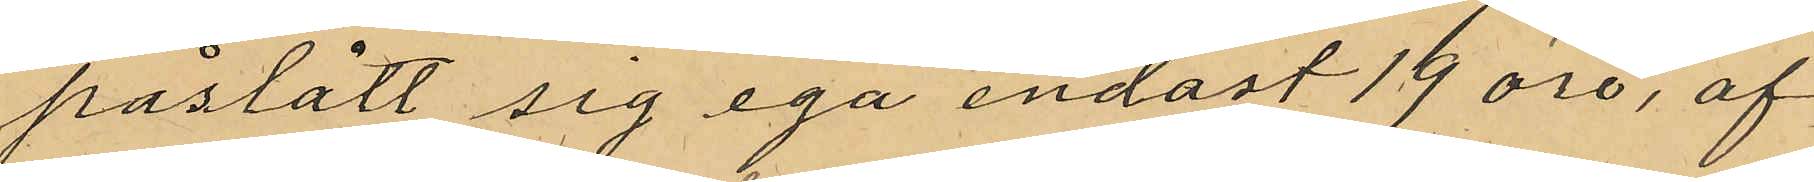påstått sig ega endast 19 öre, af
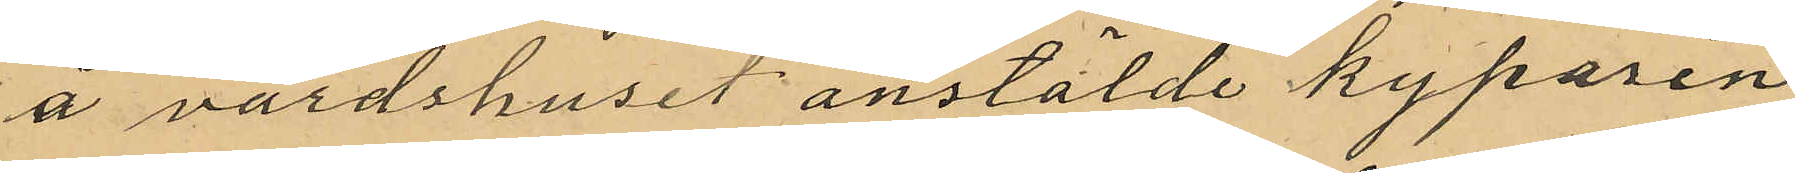å värdshuset anstälde kyparen
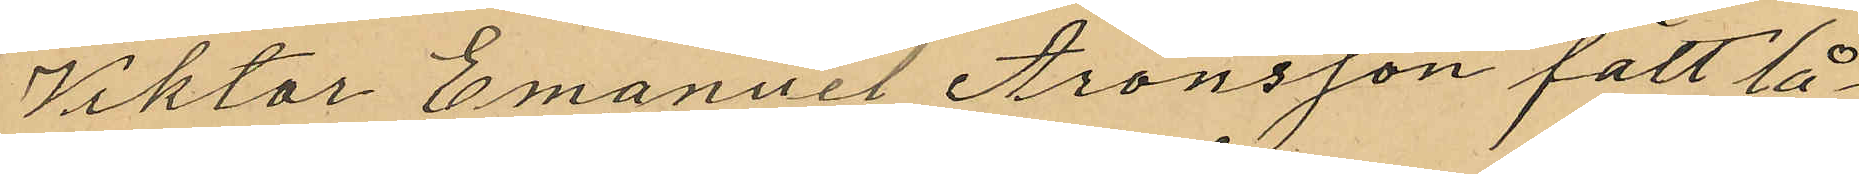Viktor Emanuel Aronsson fått lå¬
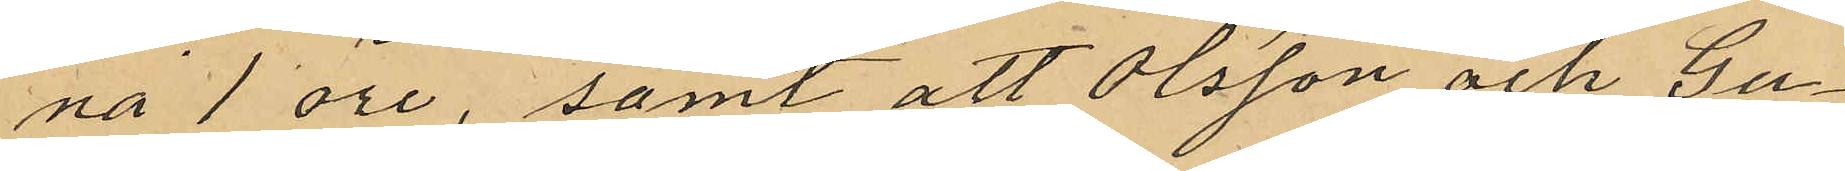na 1 öre, samt att Olsson och Gu¬
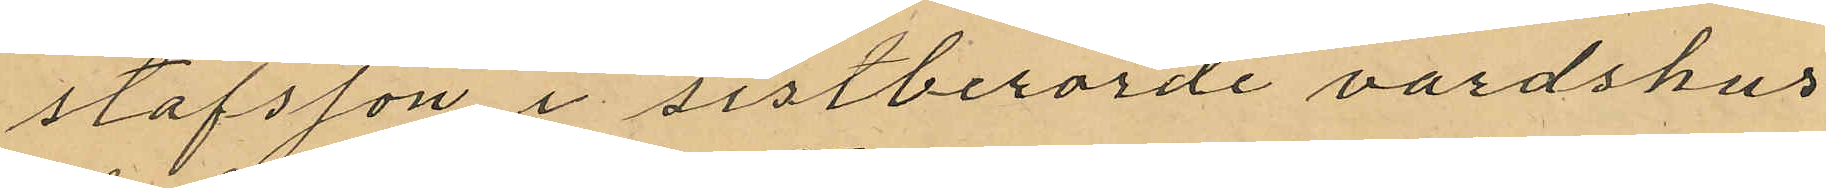stafsson i sistberorde vardshus¬
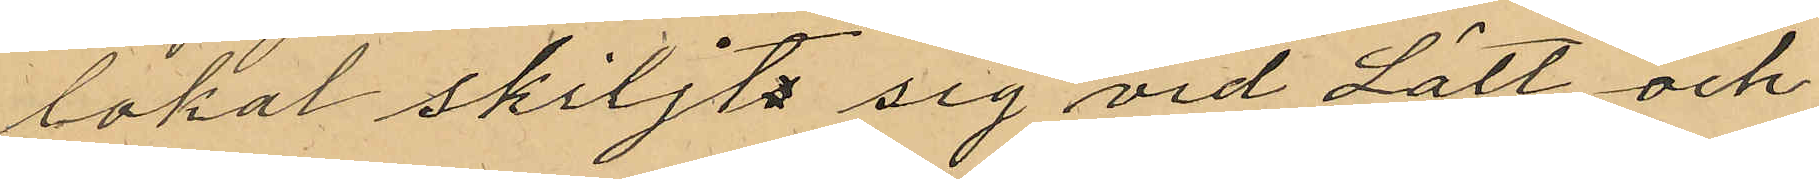lokal skiljt sig vid Lätt och
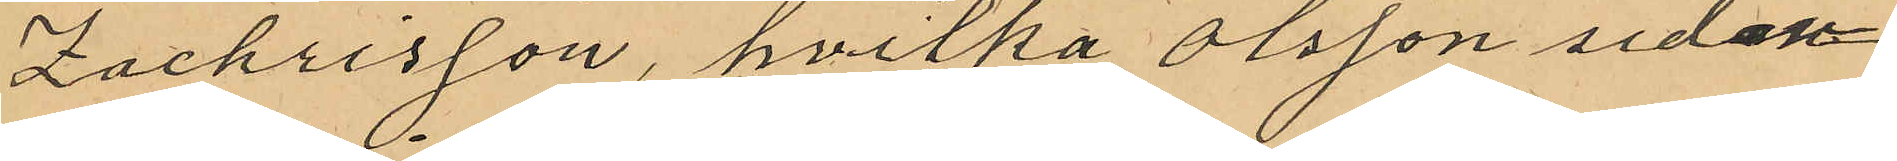Zachrisson, hvilka Olsson sedan
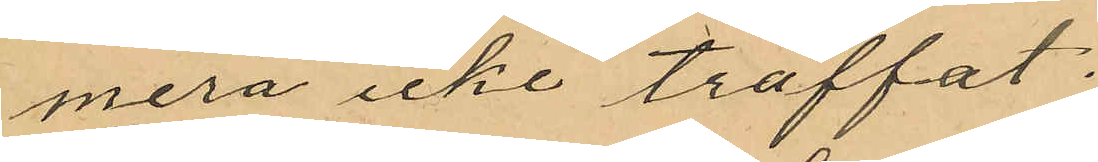mera icke träffat.
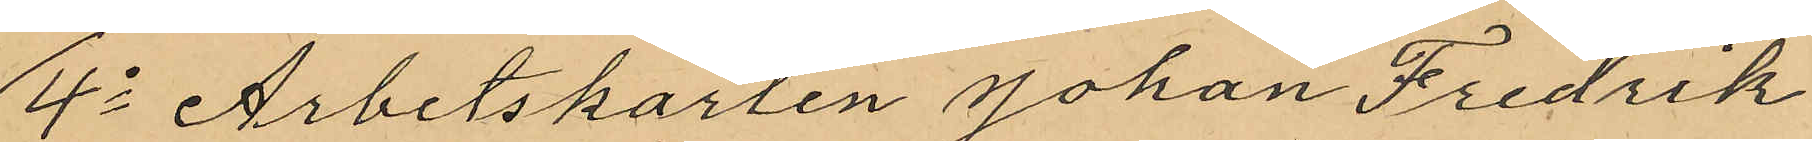4o Arbetskarlen Johan Fredrik
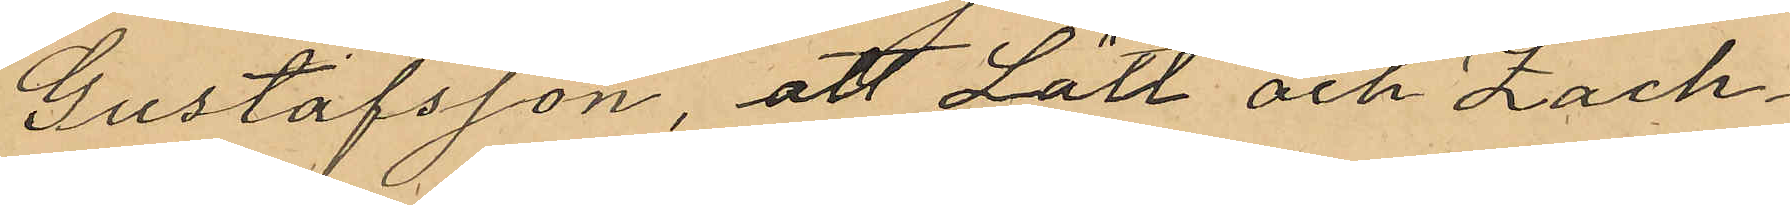Gustafsson, att Lätt och Zach¬
